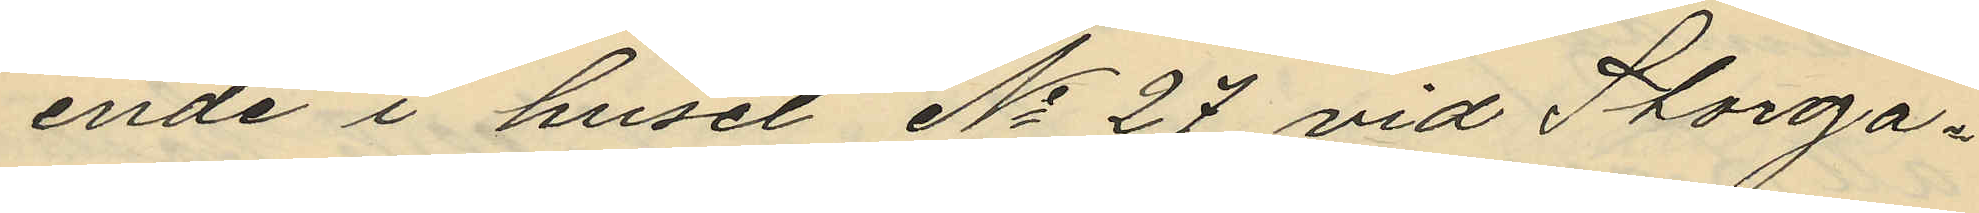ende i huset No 27 vid Storga¬
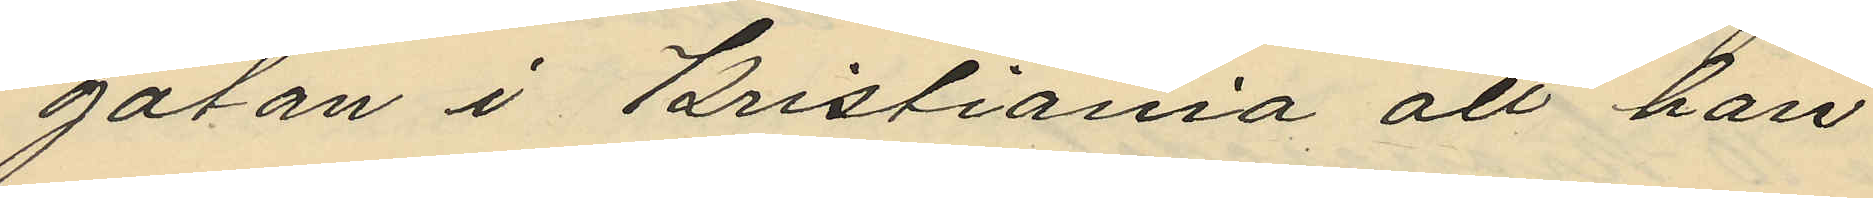gatan i Kristiania att han
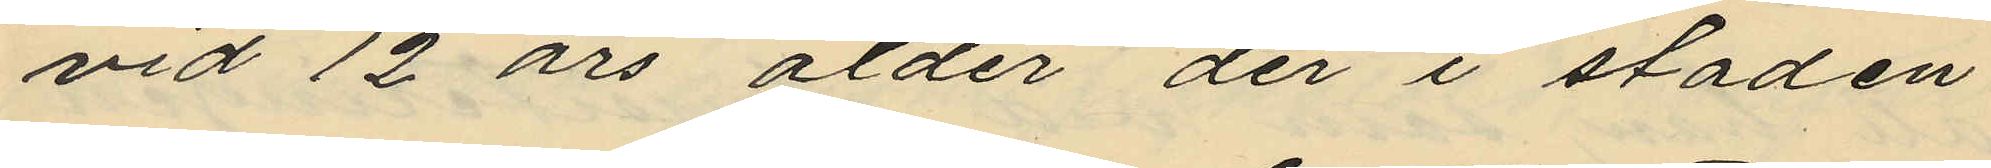vid 12 års ålder der i staden
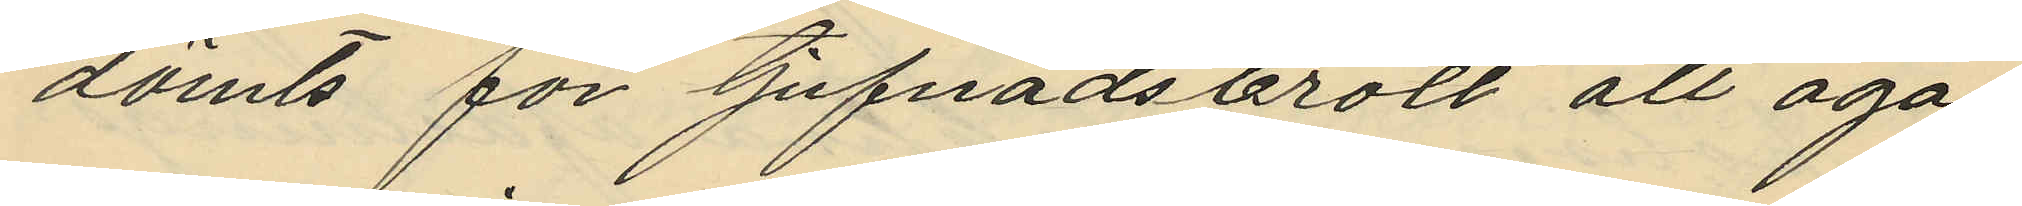dömts för tjufnadsbrott att agas
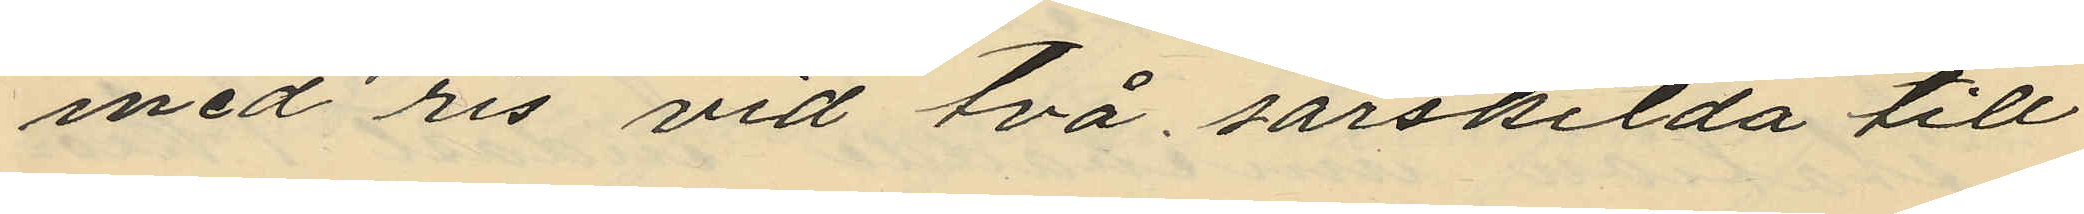med ris vid två särskilda till
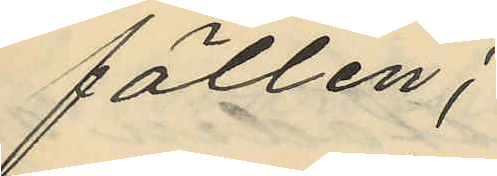fällen;
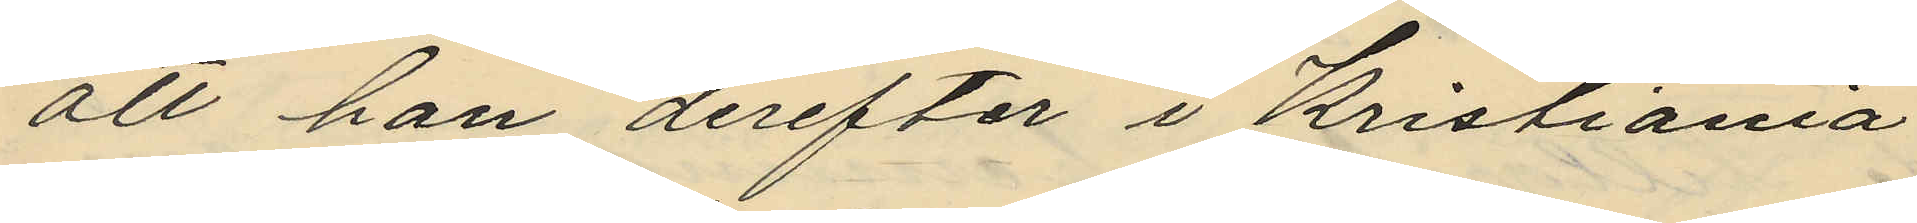att han derefter i Kristiania
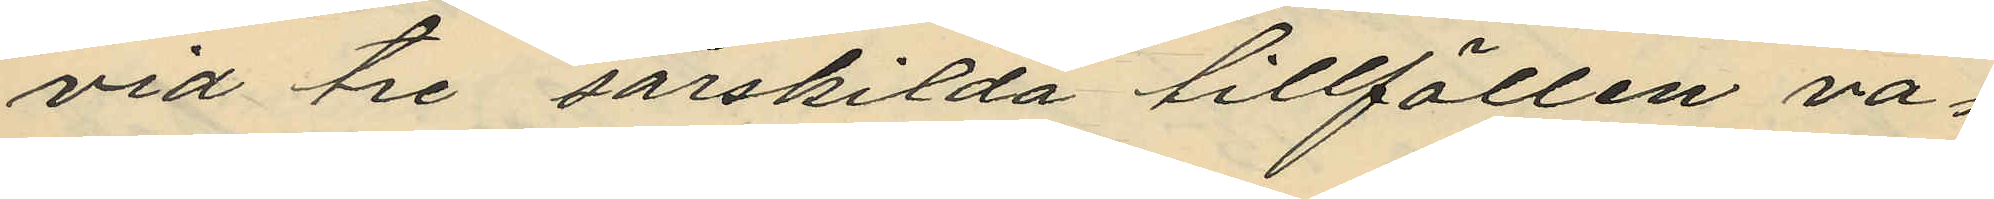vid tre särskilda tillfällen va¬
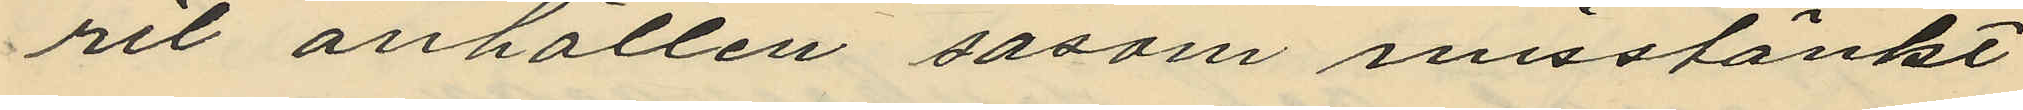rit anhållen såsom misstänkt
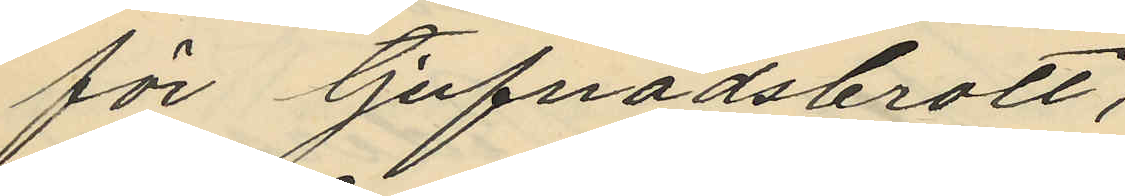för tjufnadsbrott,
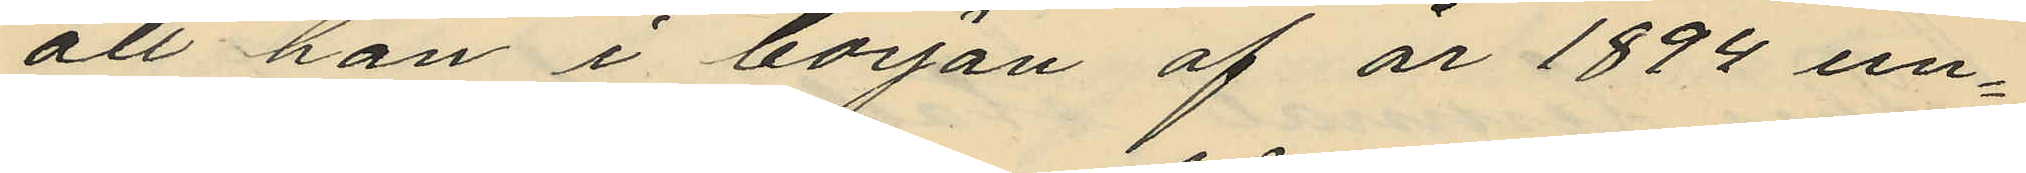att han i början af år 1894 un¬
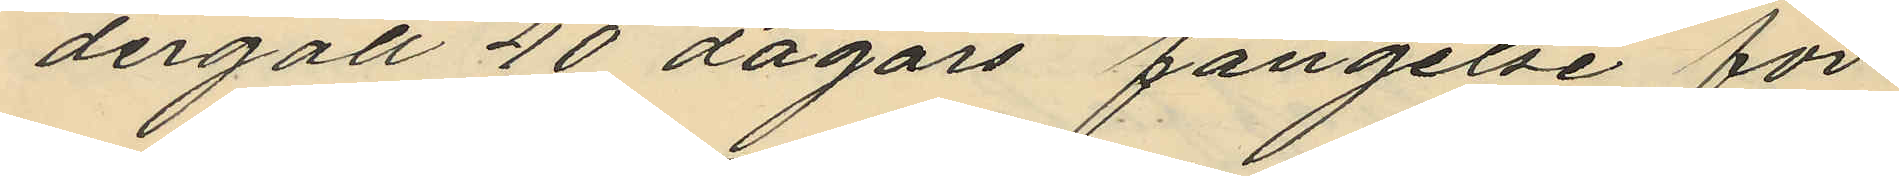dergått 40 dagars fängelse för
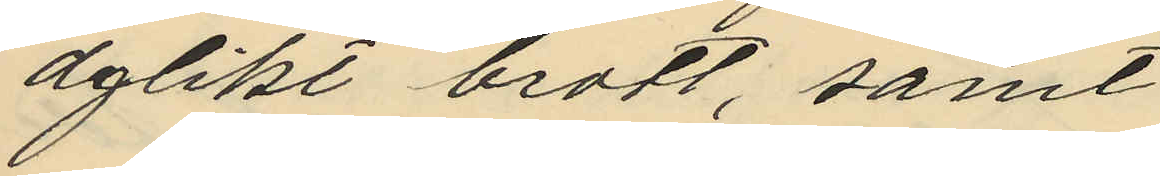dylikt brott, samt
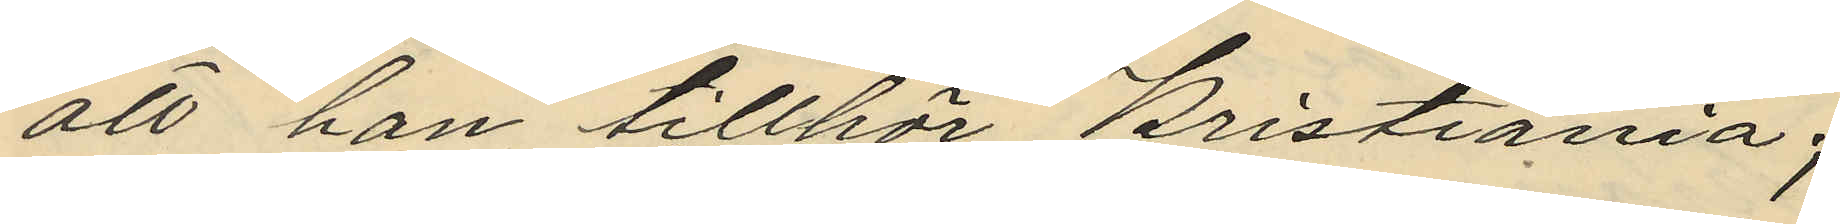att han tillhör Kristiania;
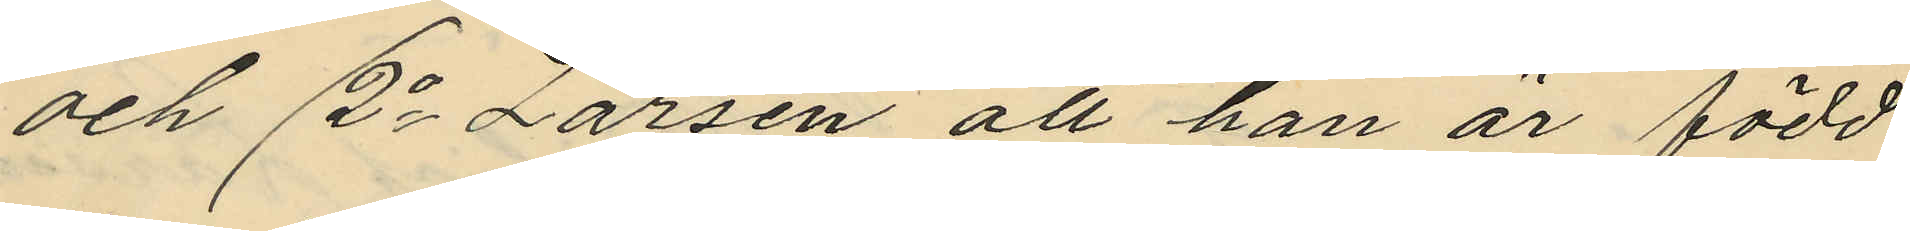och 2o Larsen att han är född
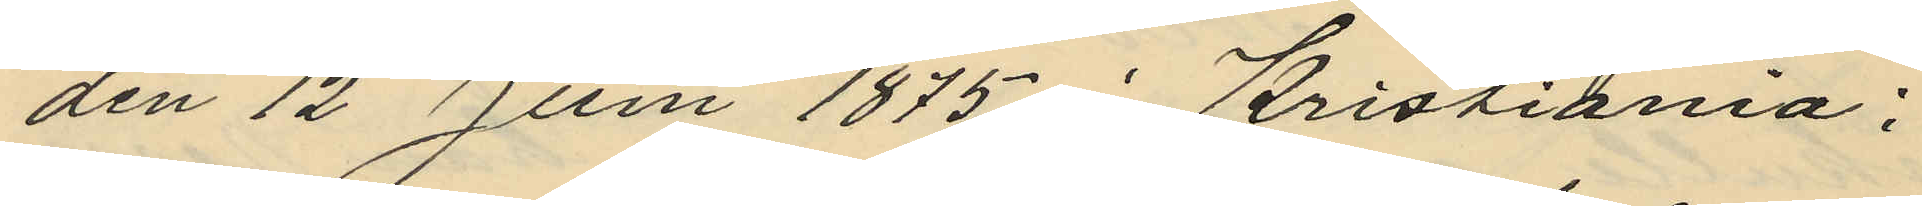den 12 Juni 1875 i Kristiania:
